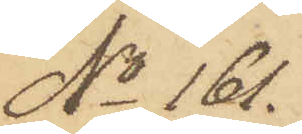No 161.
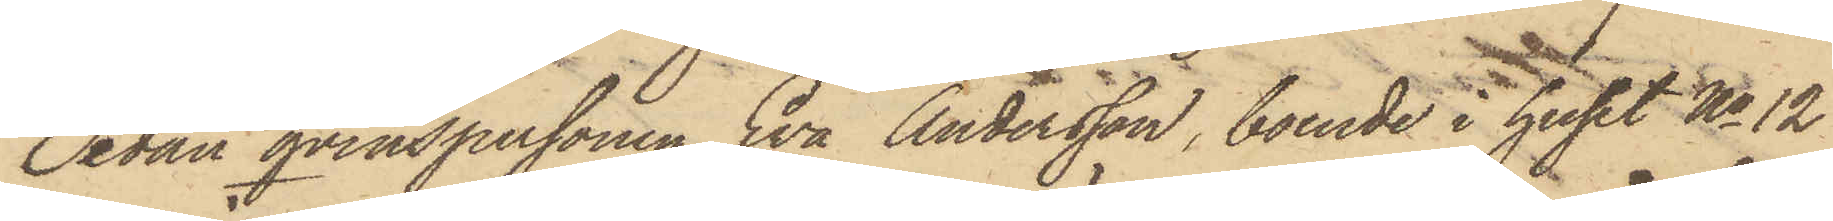Sedan qvinspersonen Eva Andersson, boende i huset No 12
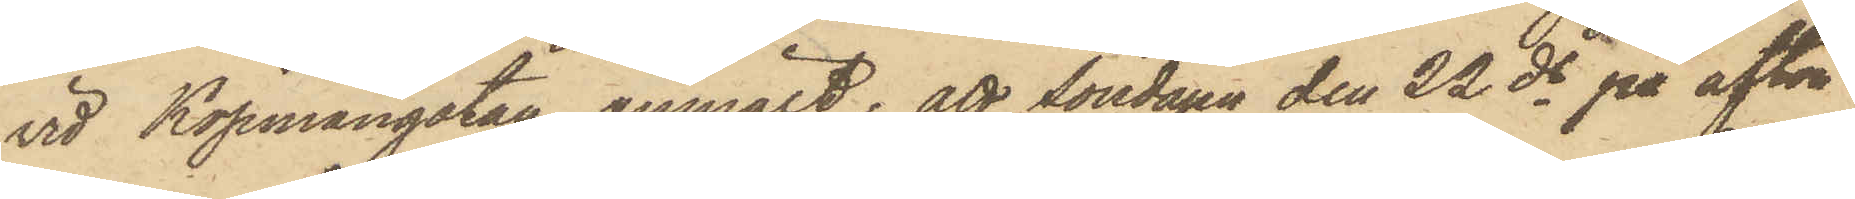vid Köpmangatan, anmält, att Söndagen den 22 ds på afton
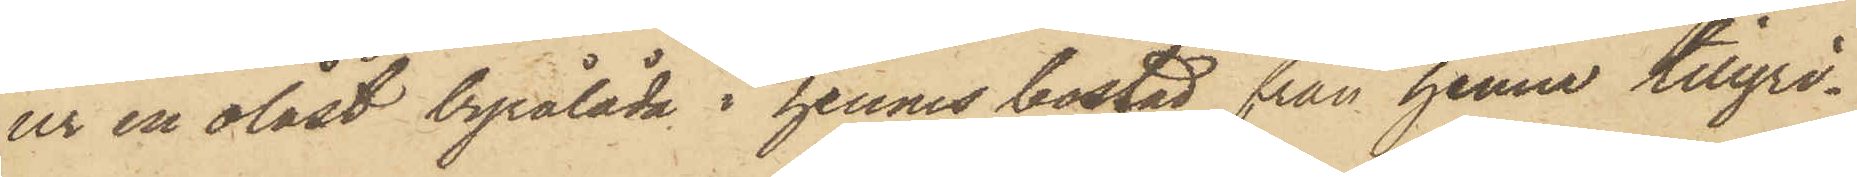ur en olåst byrålåda i hennes bostad från henne tillgri¬
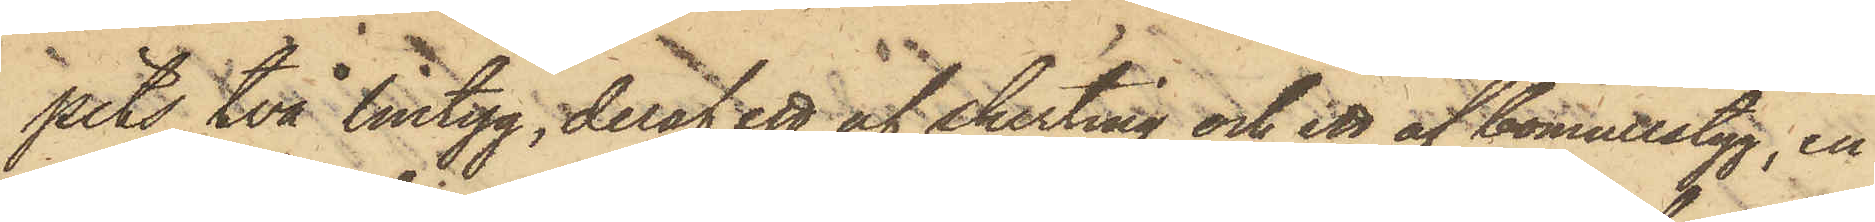pits två lintyg, deraf ett af skirting och ett af bomullstyg, en
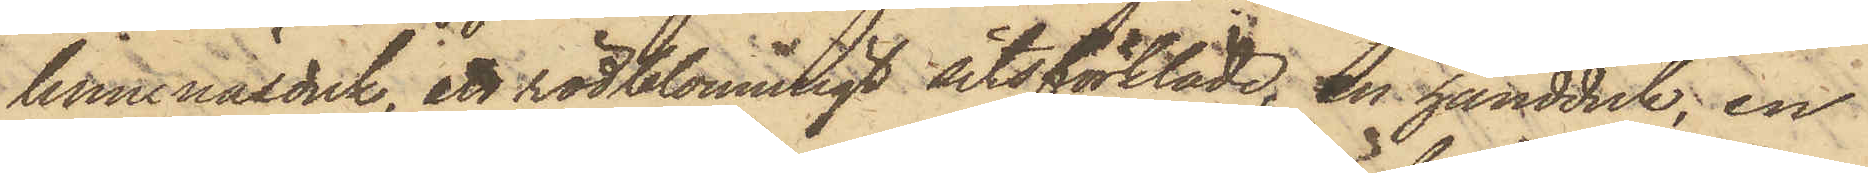linnenäsduk, ett rödblommigt sitsförkläde, en handduk, en
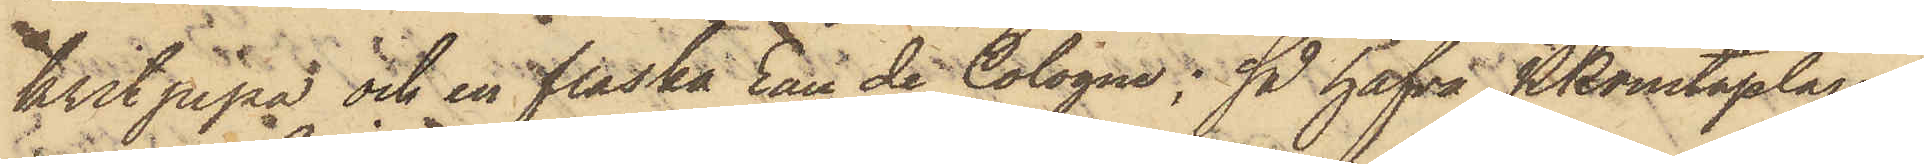kritpipa och en flaska Eau de Cologne; så hafva PKonstaplarne
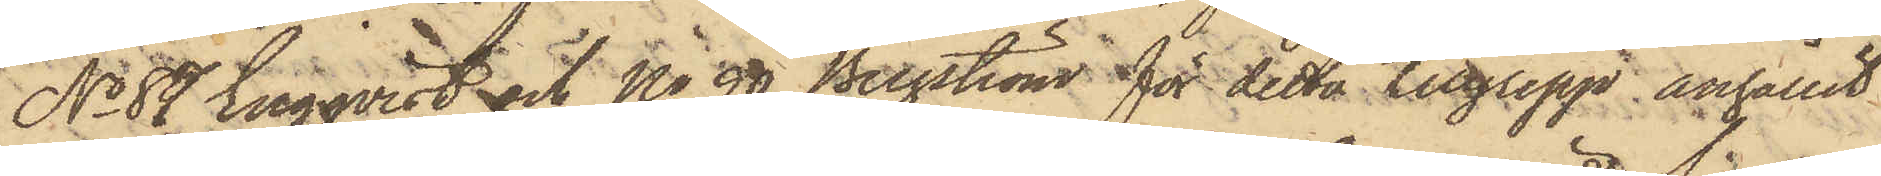No 87 Engqvist och No 90 Bergström för detta tillgrepp anhållit
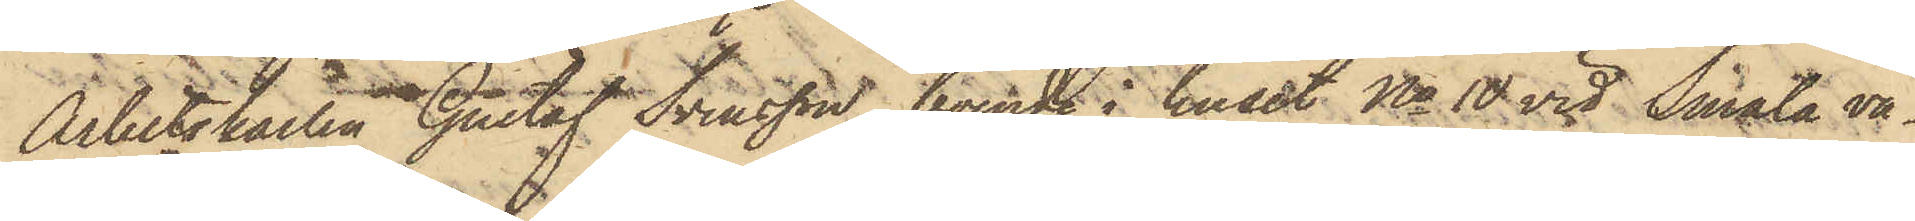Arbetskarlen Gustaf Svensson, boende i huset No 10 vid Smala vä¬
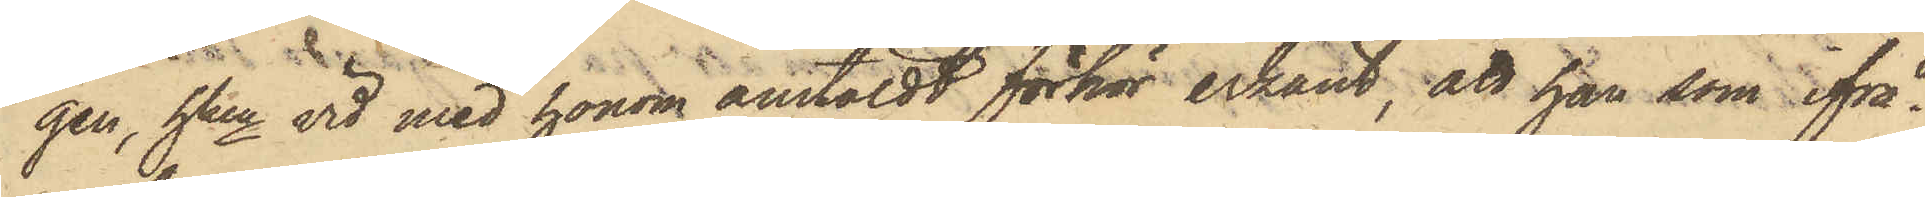gen, hken vid med honom anstäldt förhör erkänt, att han, som ifrå¬
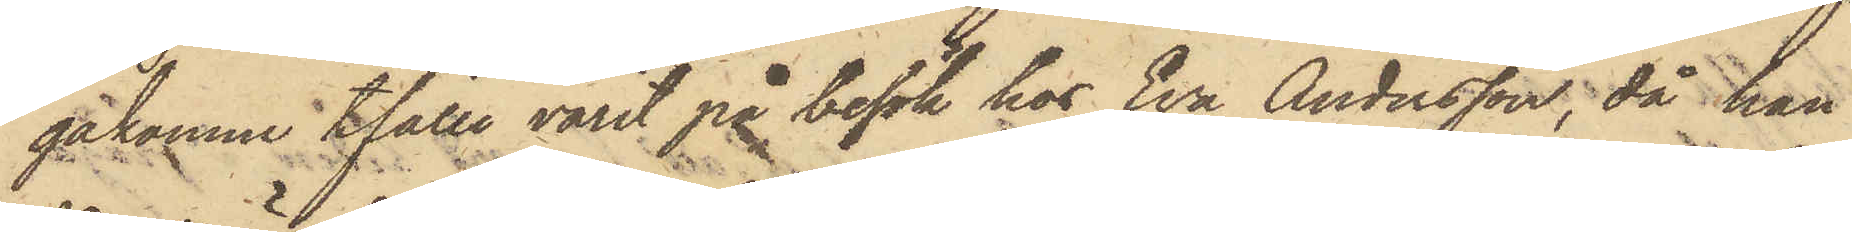gakomne tfälle varit på besök hos Eva Andersson, då han
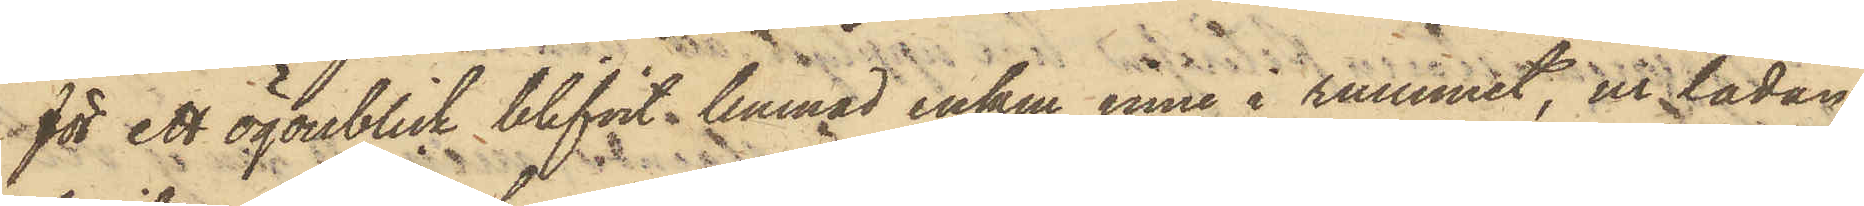för ett ögonblick blifvit lemnad ensam inne i rummet, ur lådan
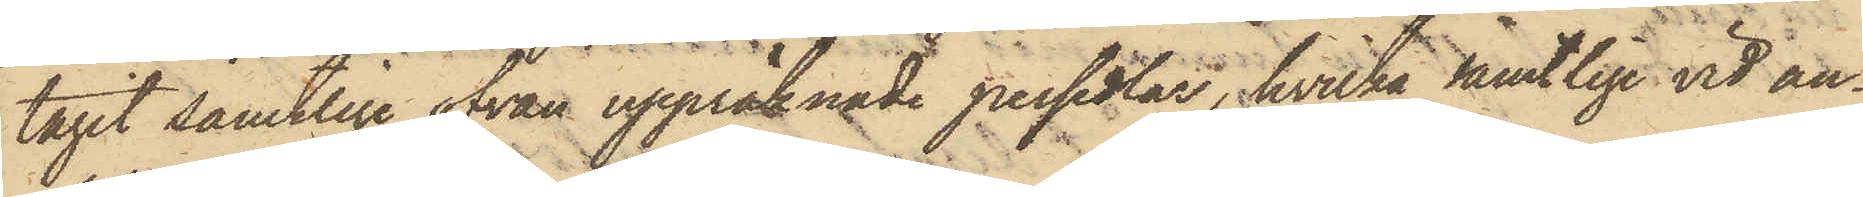tagit samtlige ofvan uppräknade persedlar, hvilka samtlige vid an¬
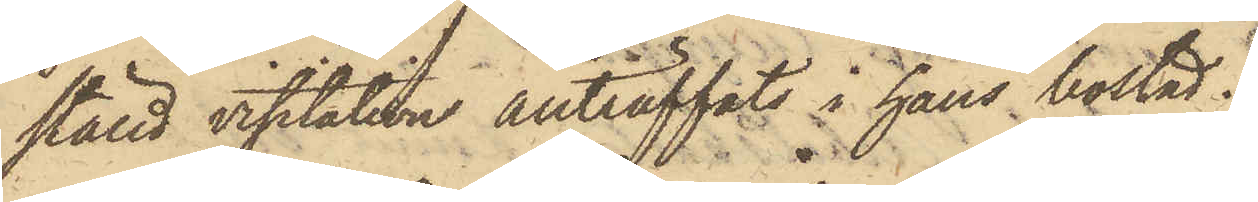ställd visitation anträffats i hans bostad.
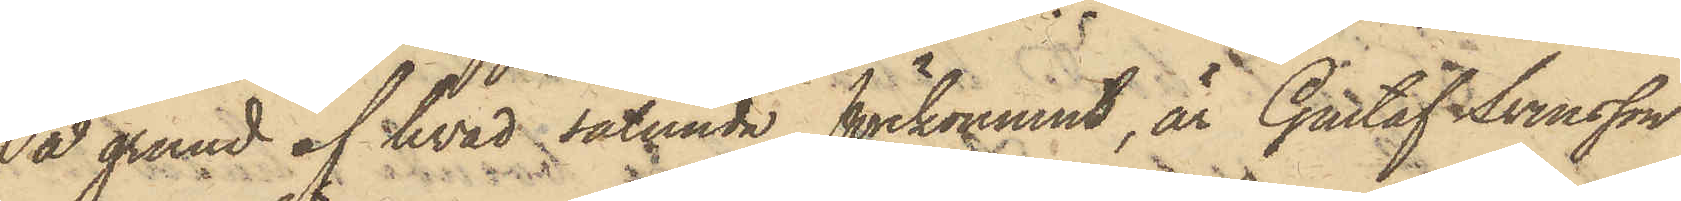På grund af hvad sålunda förkommit, är Gustaf Svensson
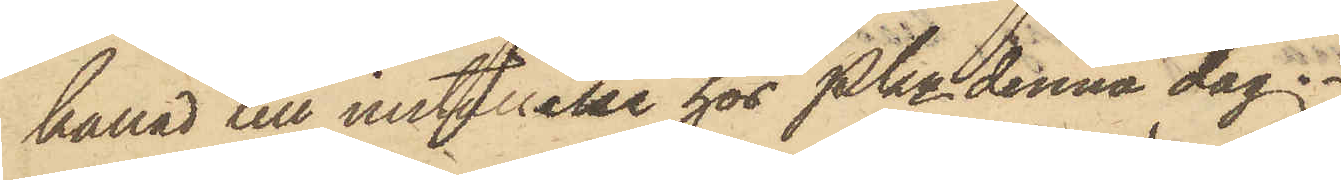kallad till inställelse hos Pkn denna dag.
